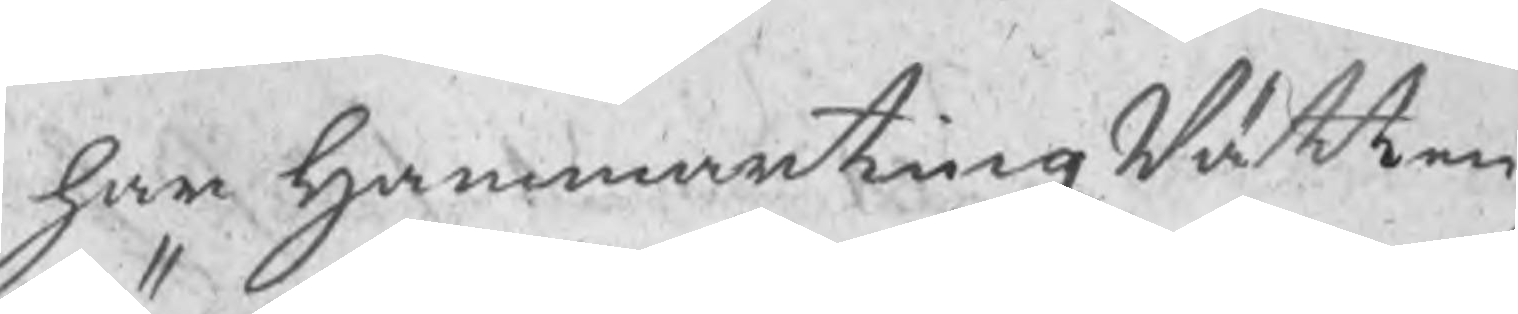har HammartingzRätten
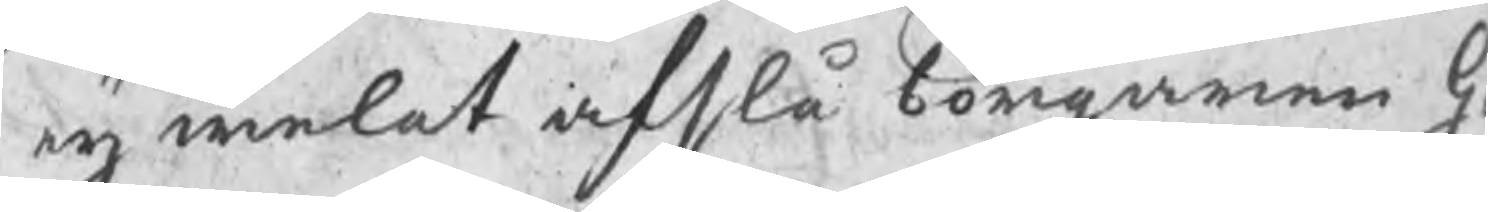eij welat afslå borgaren G
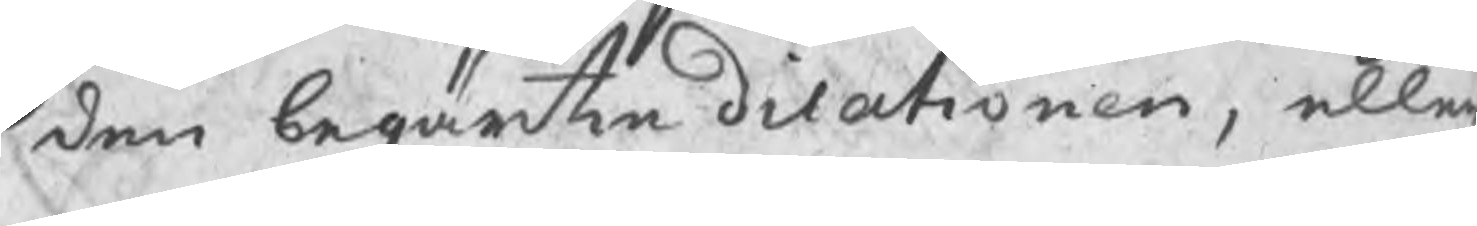den begärte dilationen, elle
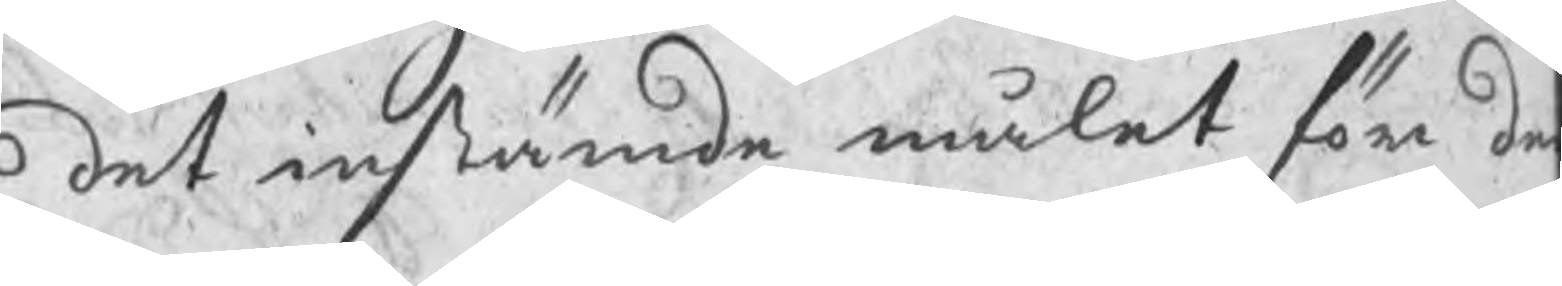det instämde målet för de
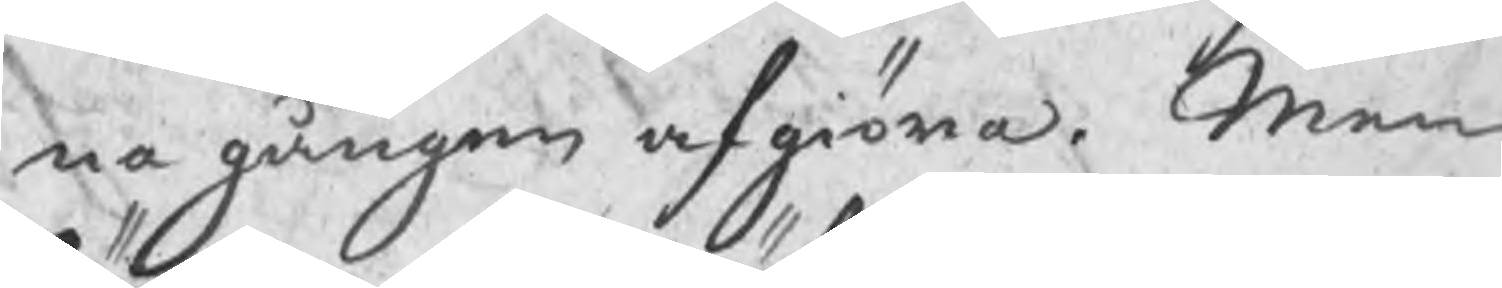na gången afgiöra. Men
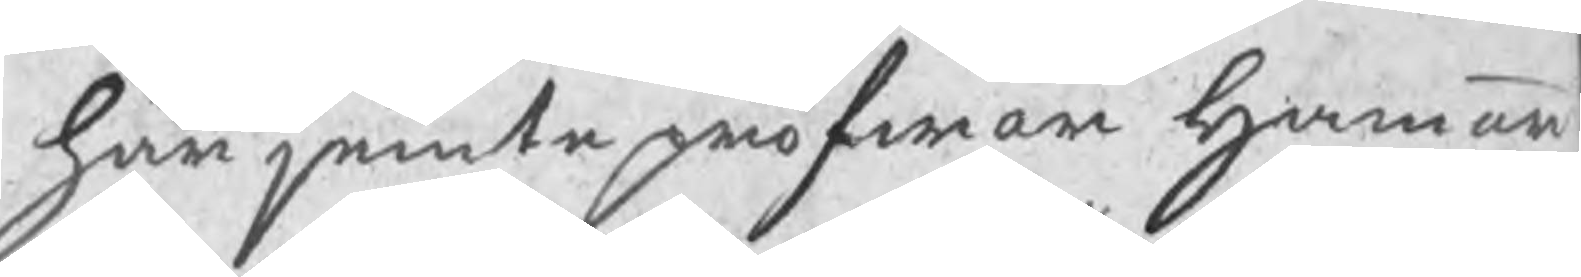här jemte pröfwar Hammar
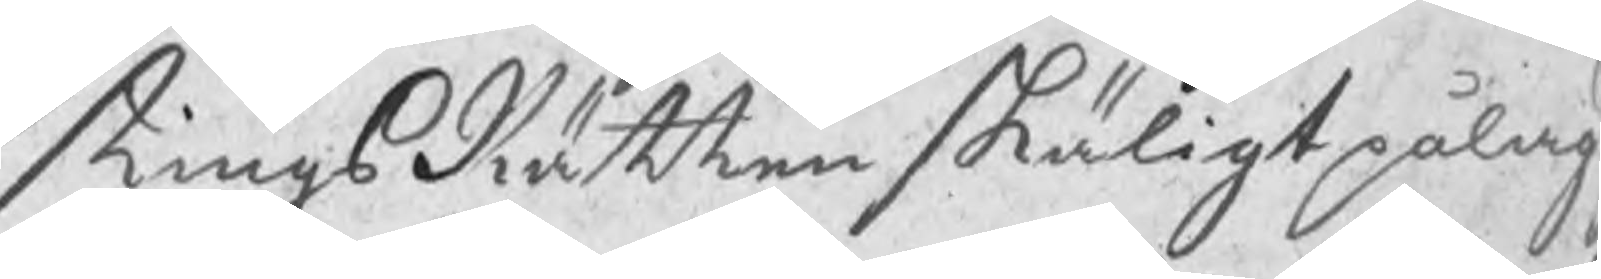tingsRätten skäligt pålag
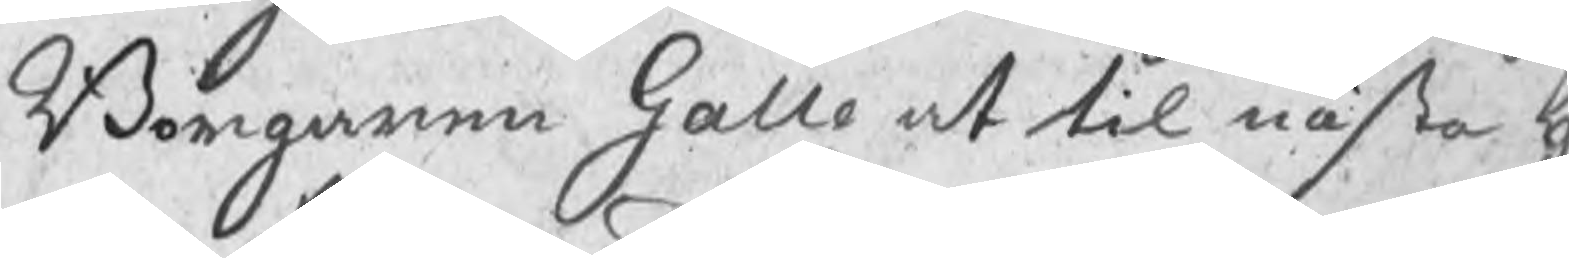Borgaren Galle at til nästa h
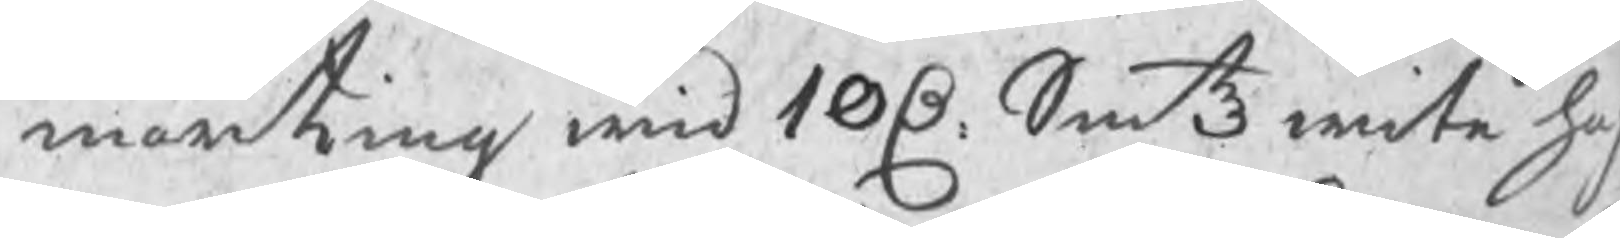marting wid 10 C Smtz wite ha
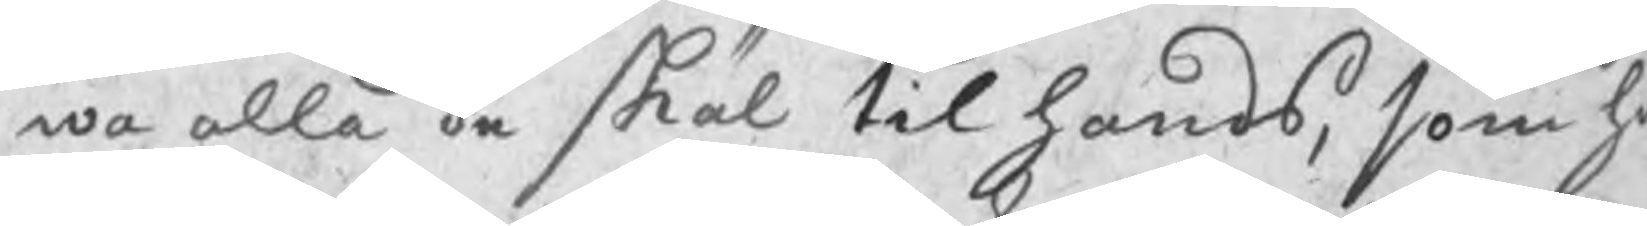wa alla de skäl til hands, som ha
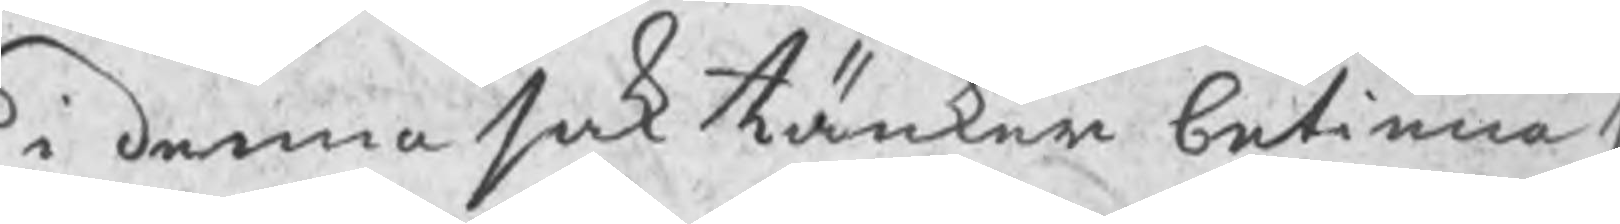i denna sak tänker betinna s
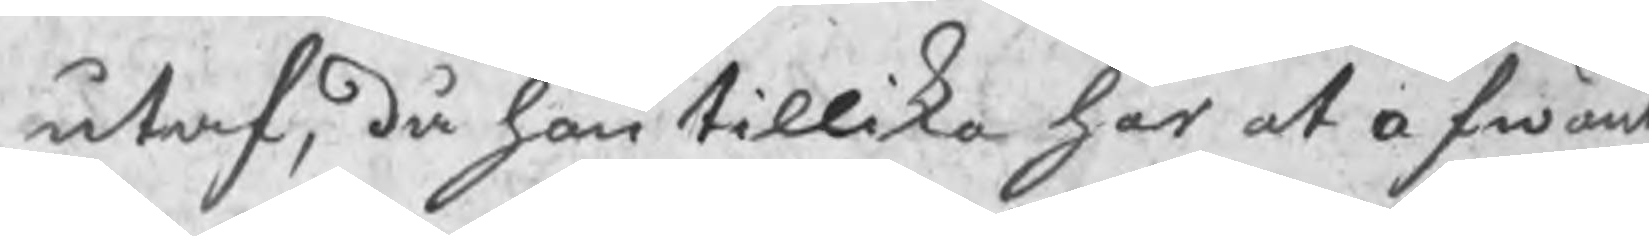utaf, då han tillika har at afwänt
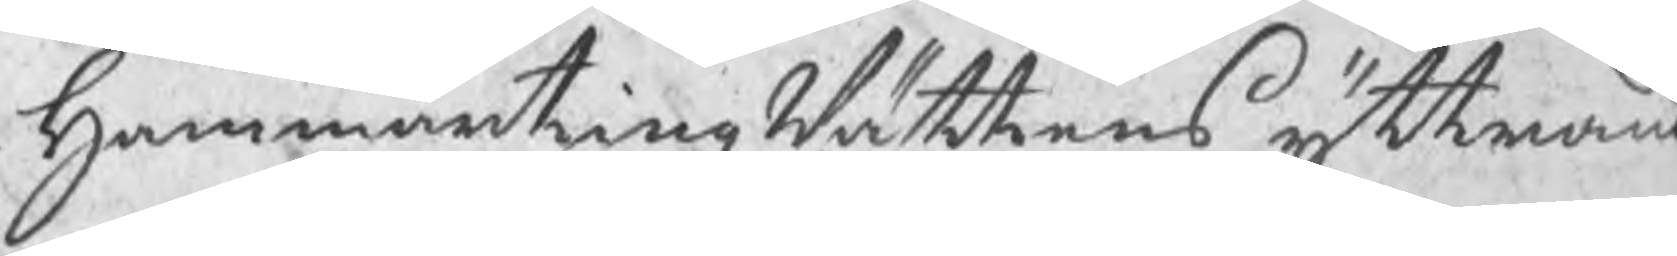HammartingzRättens yttrand
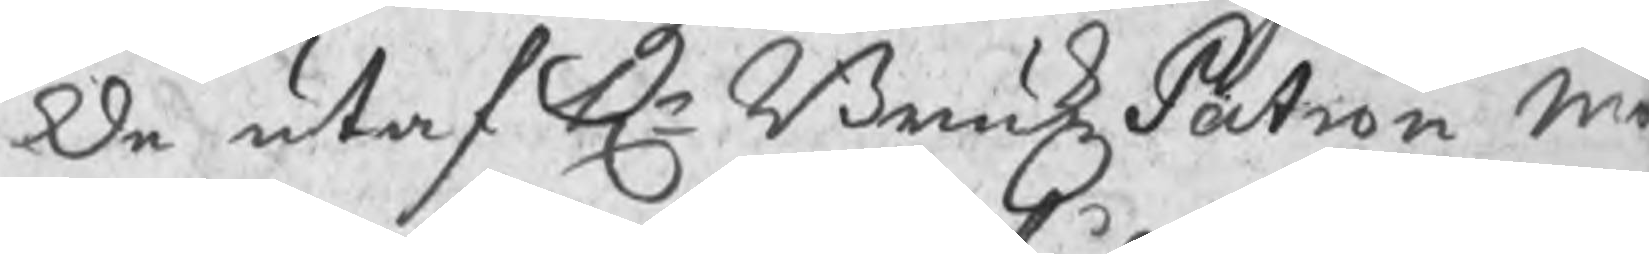de utaf Hr BrukzPatron M
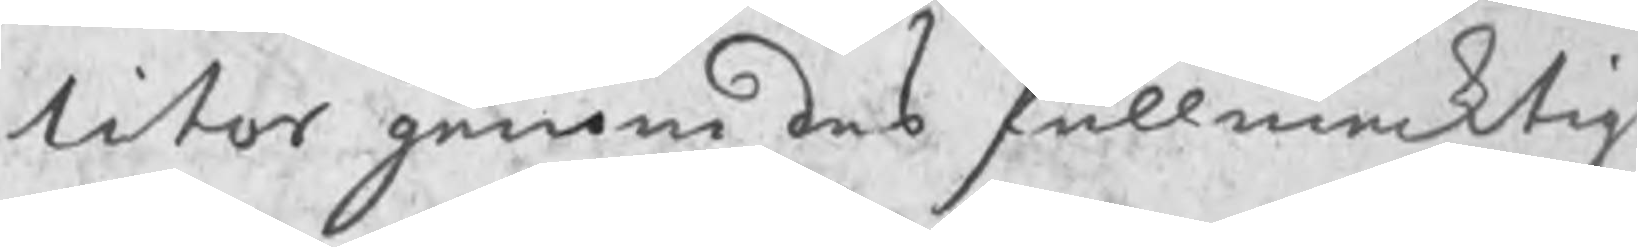litor ganom des fullmektig
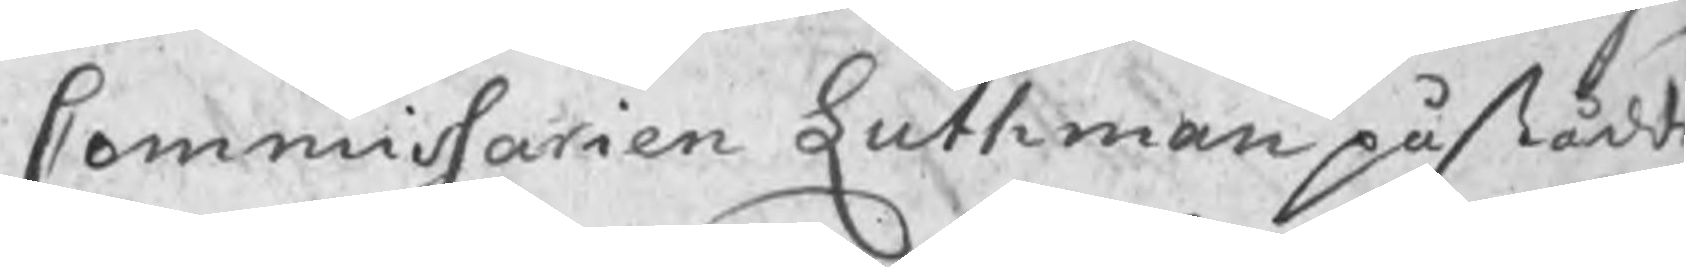Commissarien Luthman påstådde
